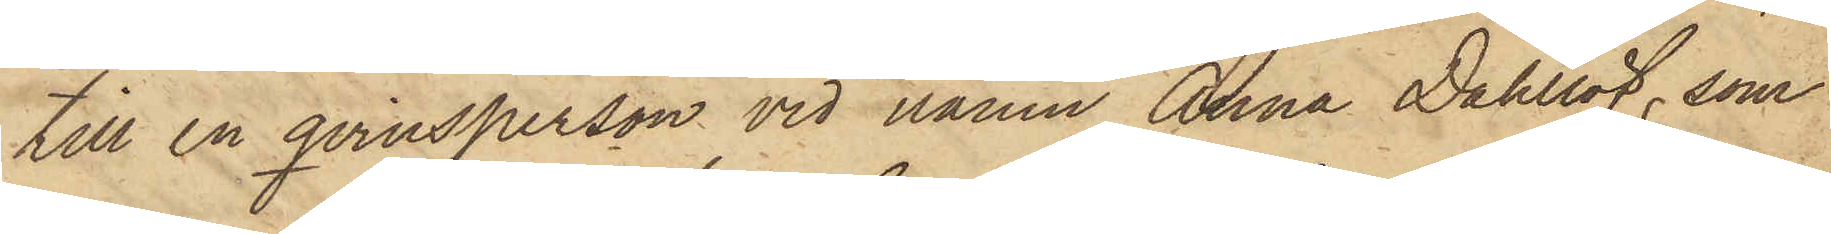till en qvinsperson vid namn Anna Dahlöf, som
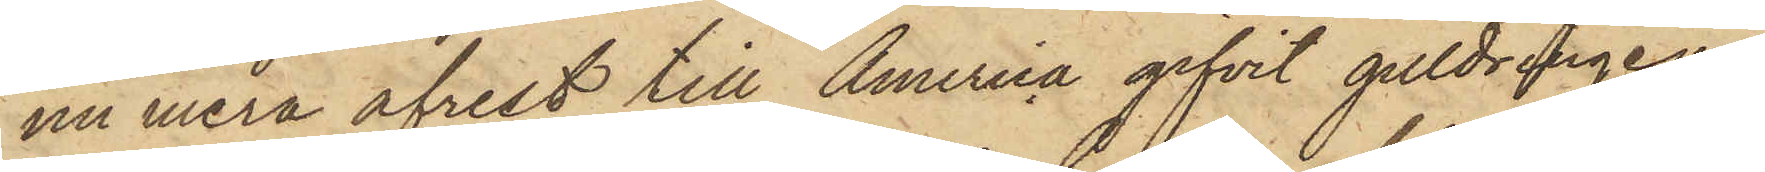nu mera afrest till America gifvit guldringen
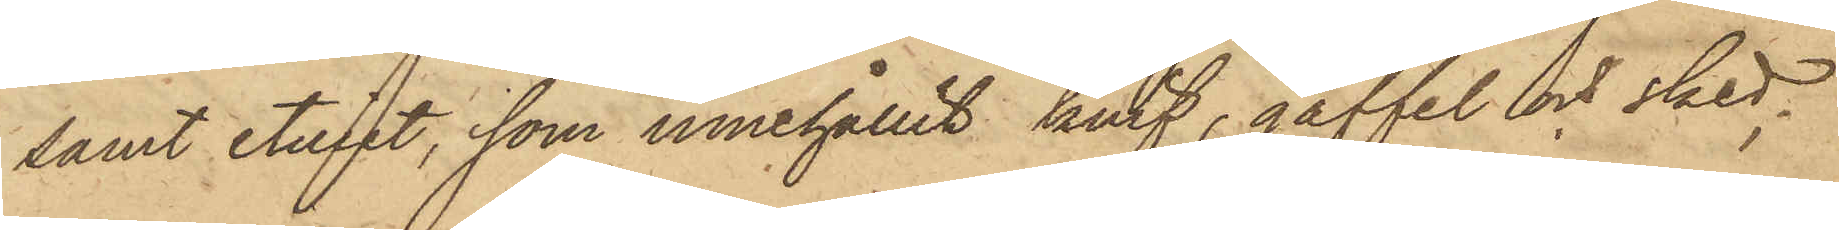samt etuiet, som innehållit knif, gaffel och sked,
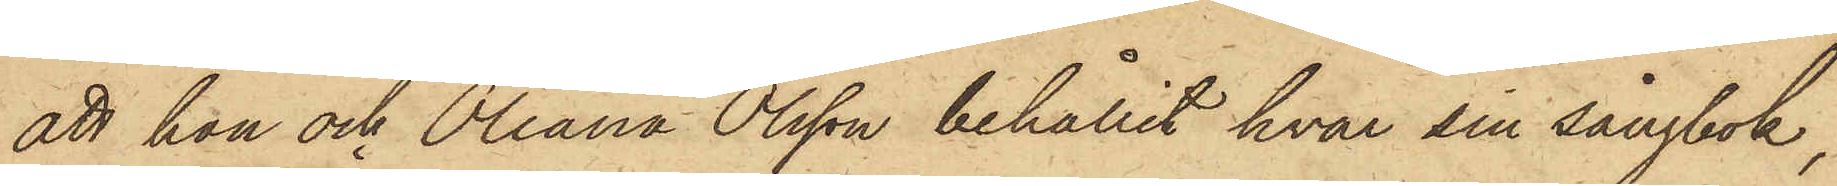att hon och Oleana Olsson behållit hvar sin sångbok,
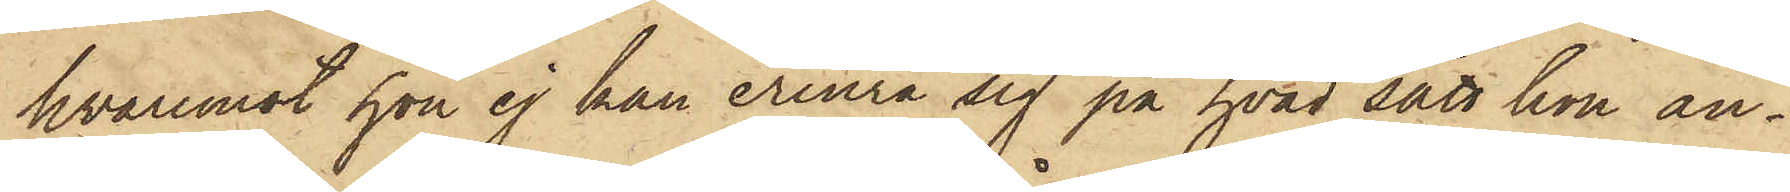hvaremot hon ej kan erinra sig på hvad sätt hon an¬
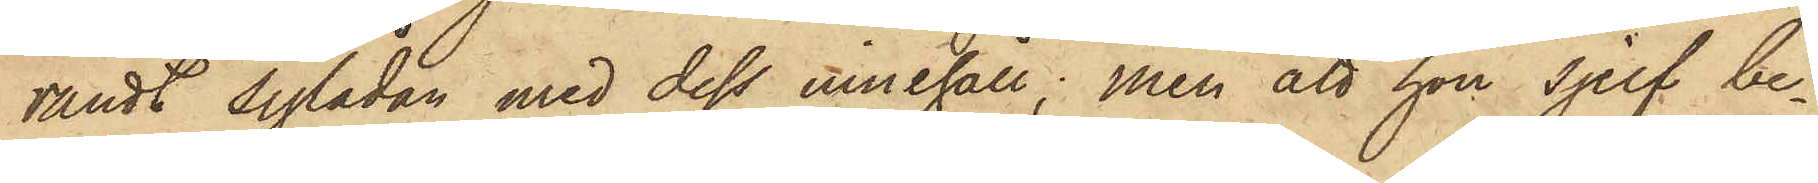vändt sylådan med dess innehåll; men att hon sjelf be¬
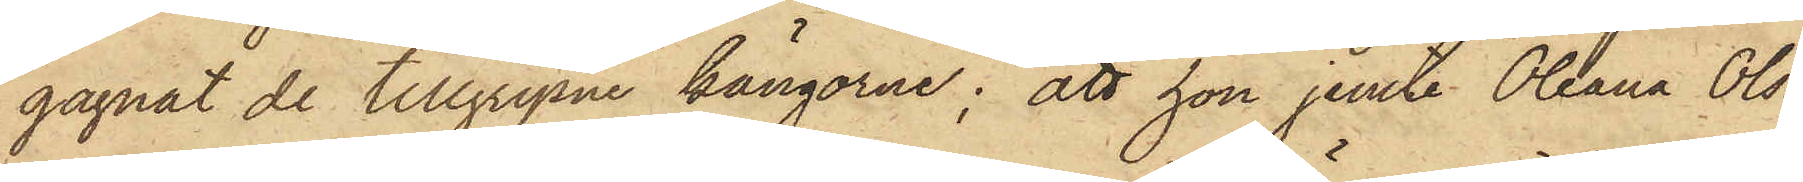gagnat de tillgripne kängarne; att hon jemte Oleana Ols¬
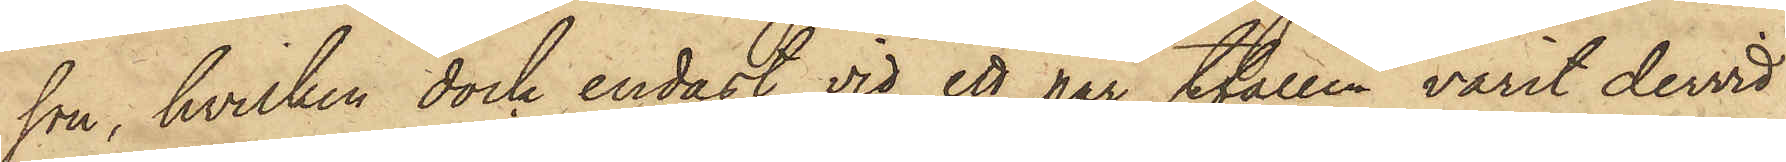son, hvilken dock endast vid ett par tfällen varit dervid
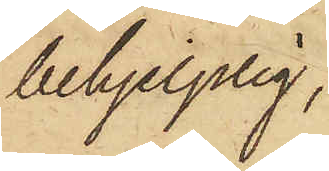behjelplig,
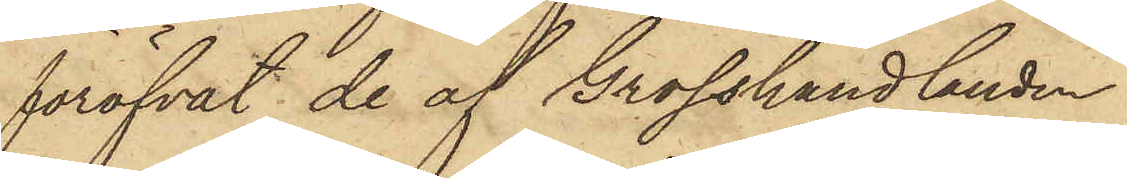föröfvat de af Grosshandlanden
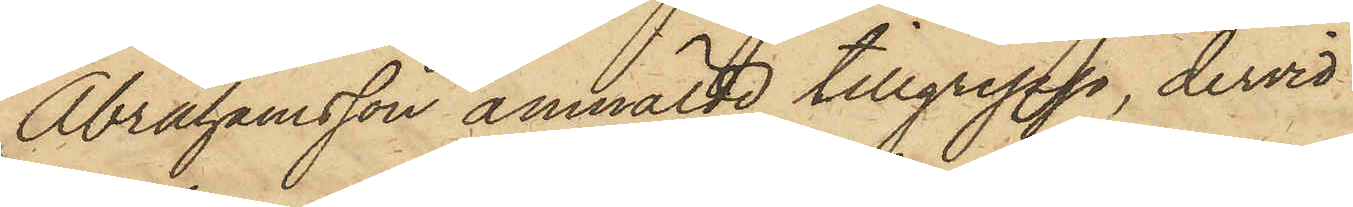Abrahamsson anmälde tillgrepp, dervid
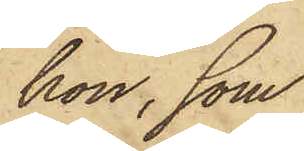hon, som
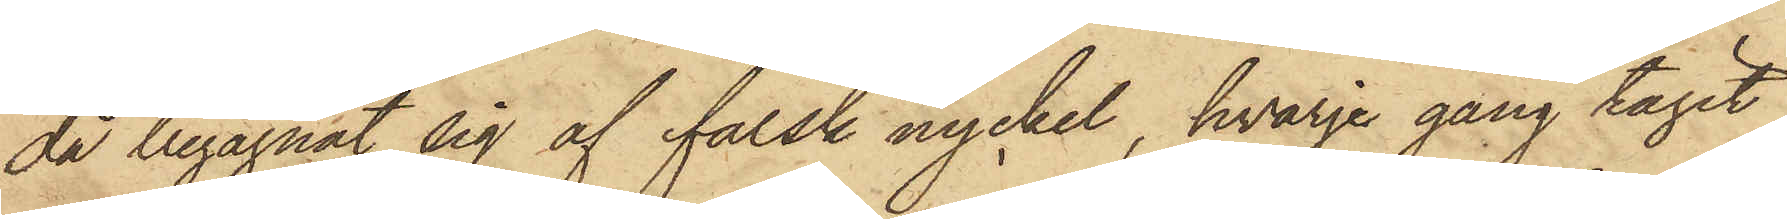då begagnat sig af falsk nyckel, hvarje gång tagit
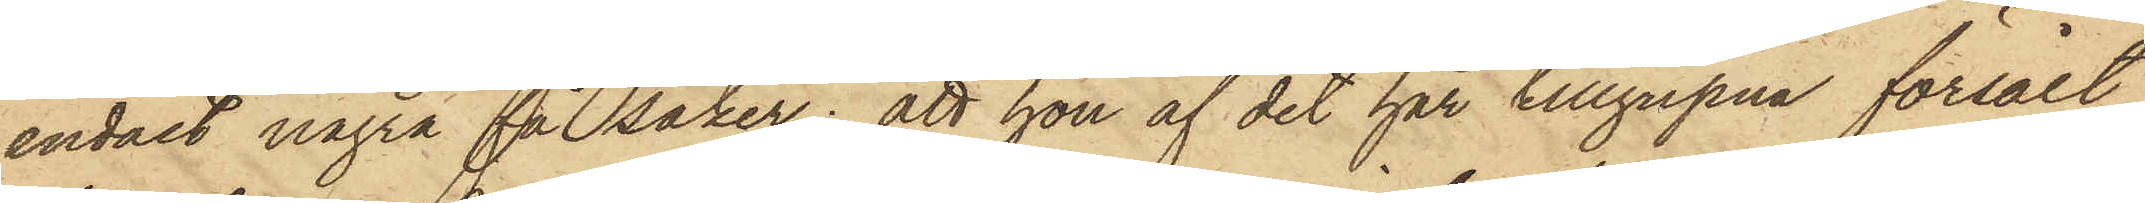endast några få saker; att hon af det har tillgripna försålt
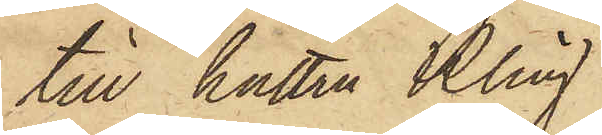till hustru Kling.
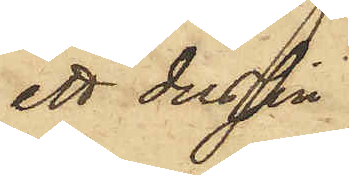ett dussin
